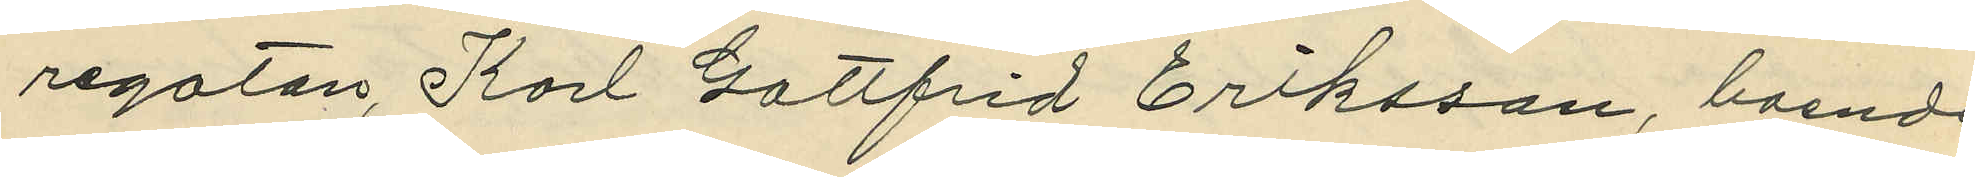regatan, Karl Gottfrid Eriksson, boende
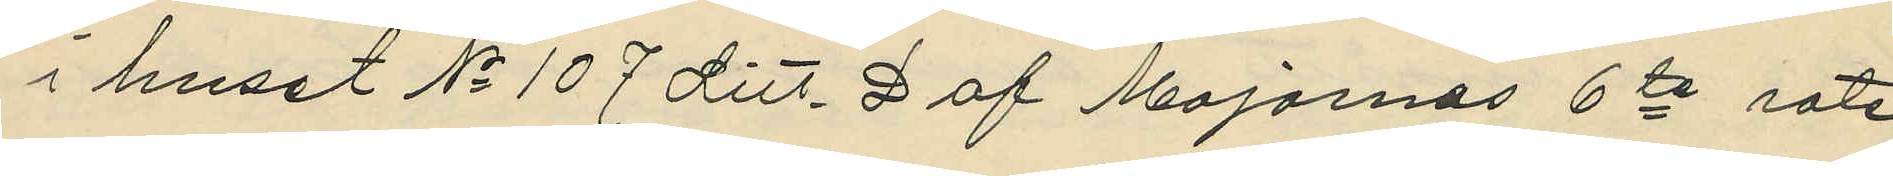i huset No 107 Litt. D af Majornas 6te rote
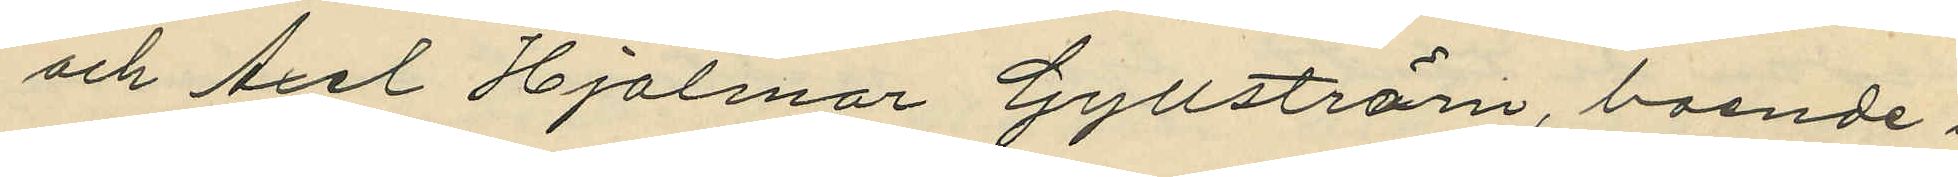och Axel Hjalmar Gyllström, boende i 
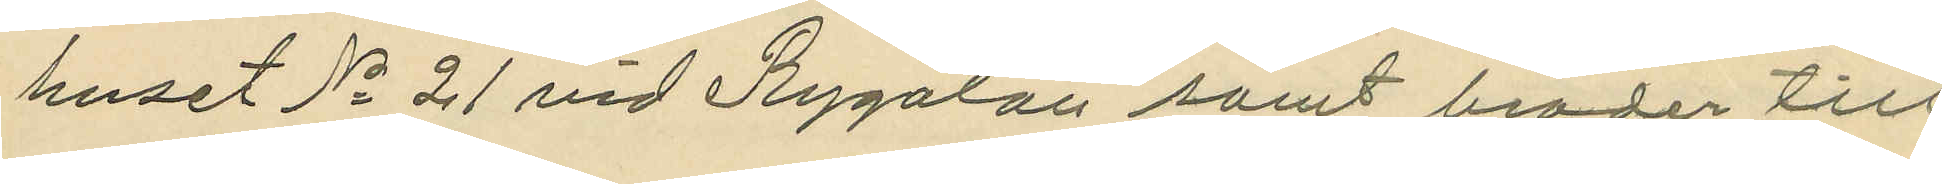huset No 21 vid Rygatan samt broder till
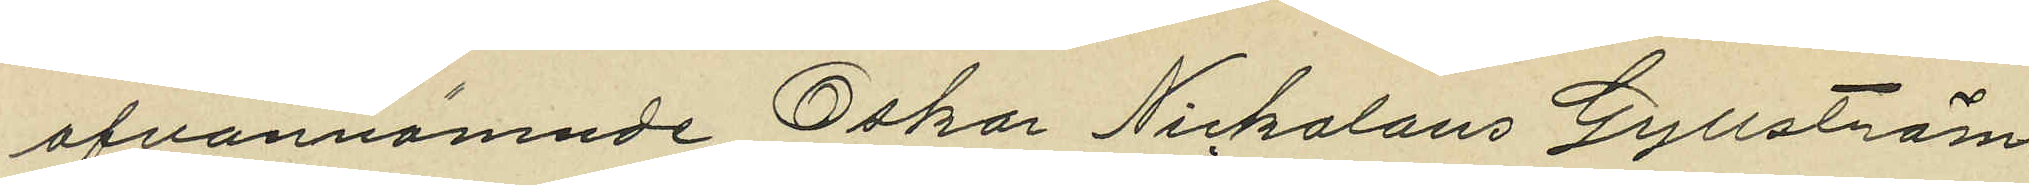ofvannämnde Oskar Niklolaus Gyllström.
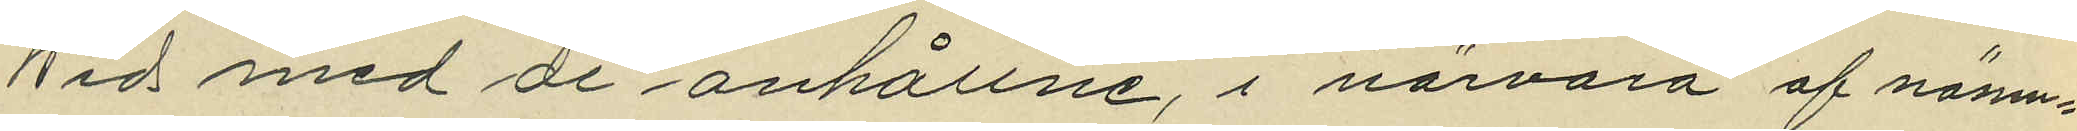Wid med de anhållne, i närvaro af nämn¬
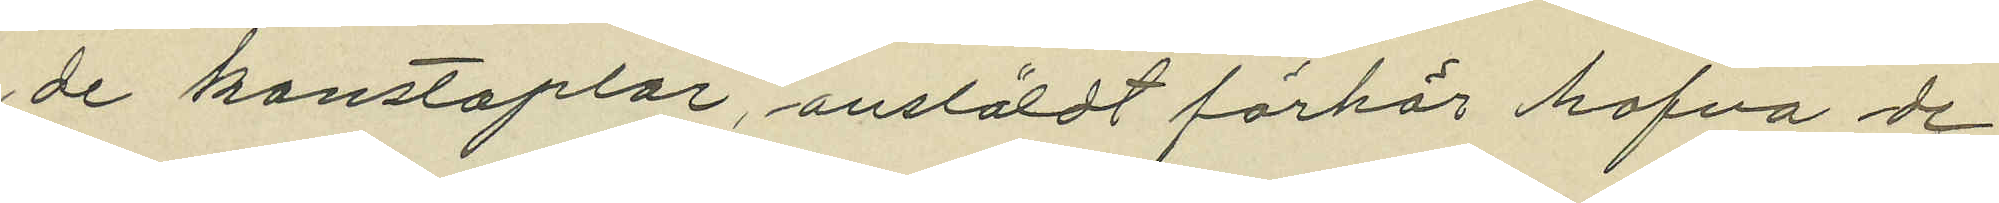de konstaplar, anstäldt förhör hafva de
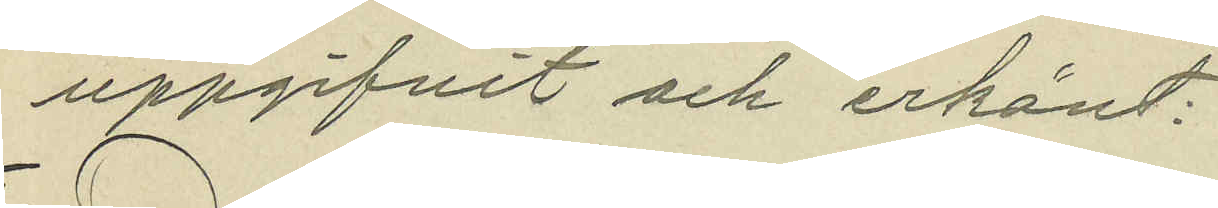uppgifvit och erkänt.
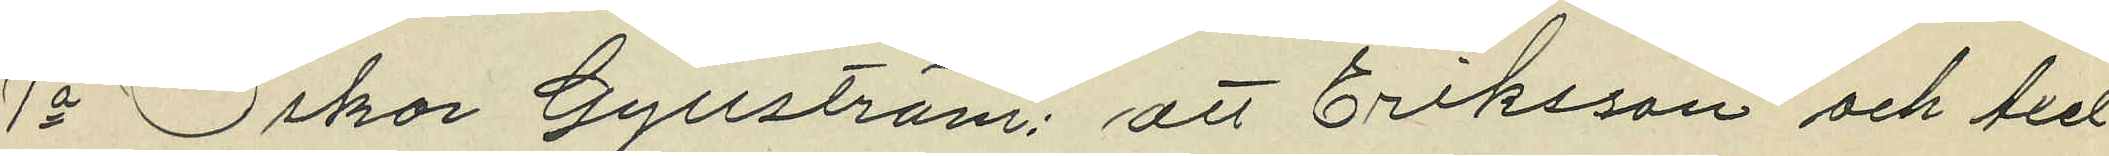1a Oskar Gyllström; att Eriksson och Axel
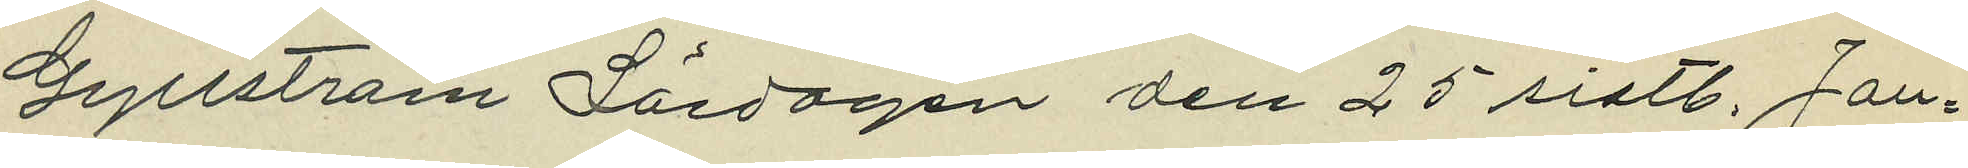Gyllström Lördagen den 25 sistl. Jan¬
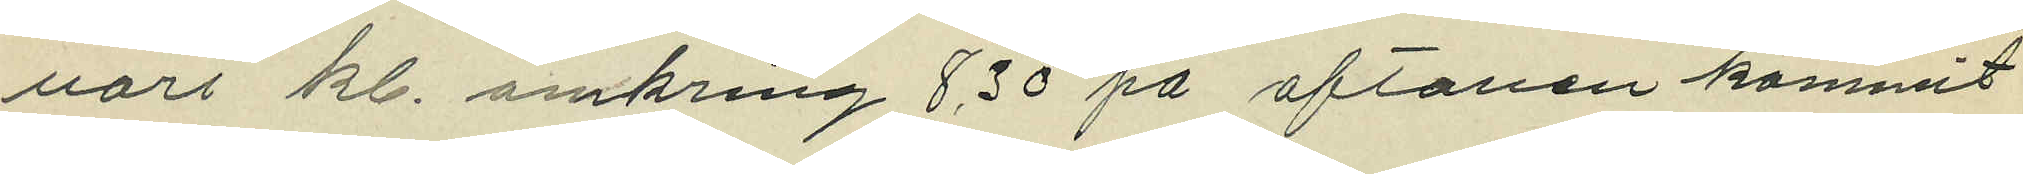uari kl. omkring 8,30 på aftonen kommit
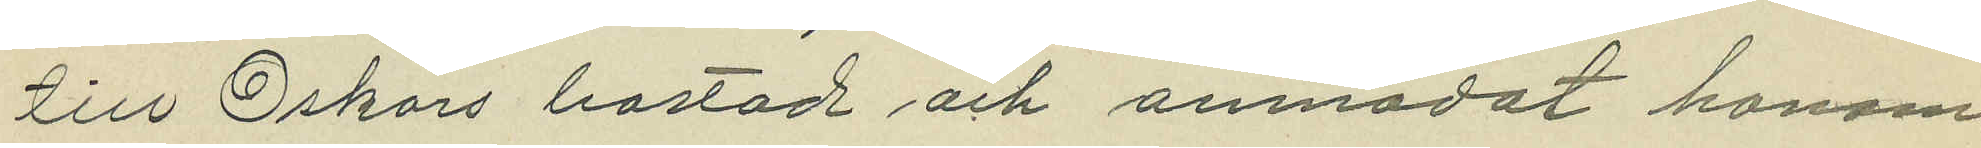till Oskars bostad och anmodat honom
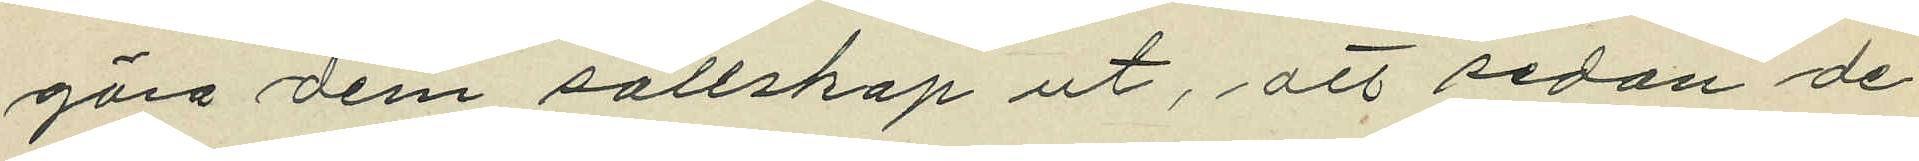göra dem sällskap ut, att sedan de
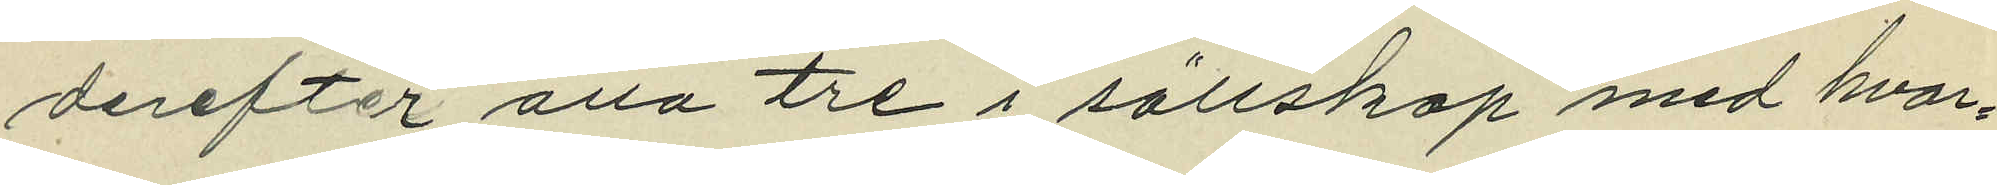derefter alla tre i sällskap med hvar¬
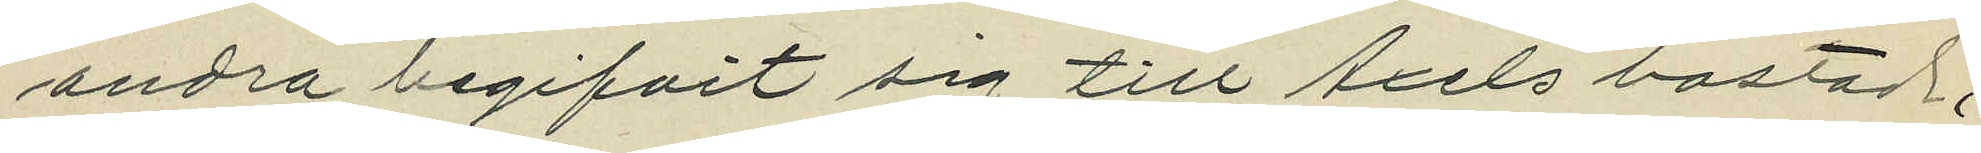andra begifvit sig till Axels bostad,
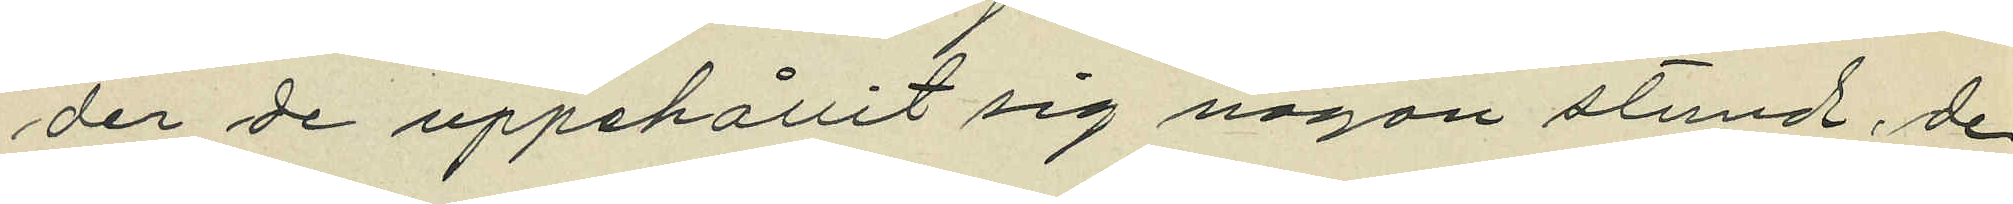der de uppehållit sig någon stund, de
